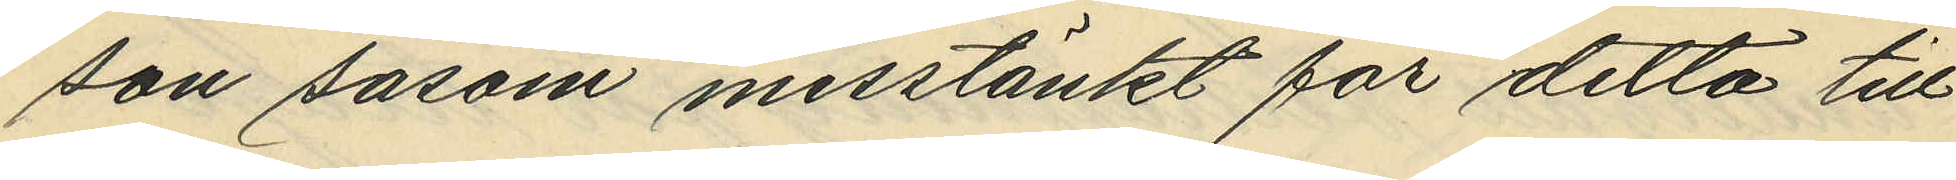son såsom misstänkt för detta till¬
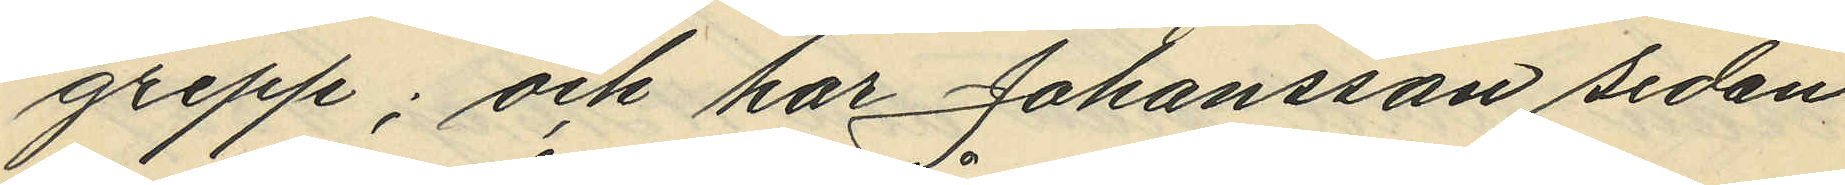grepp; och har Johansson sedan
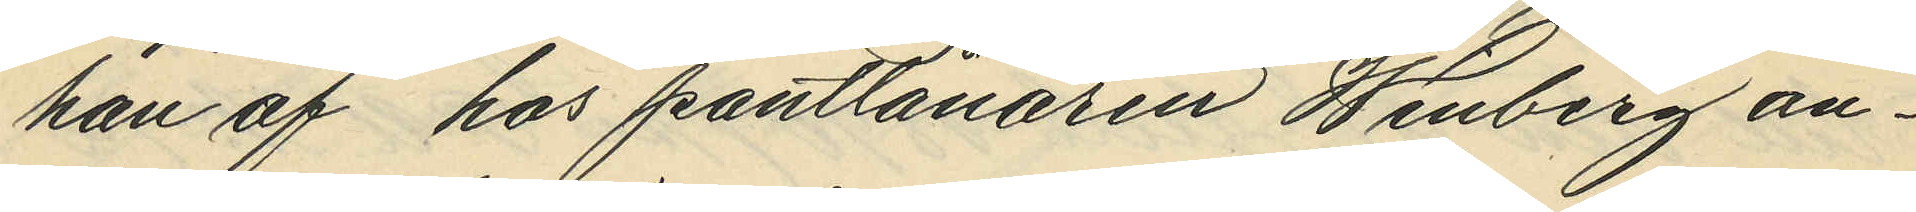han af hos pantlånaren Winberg an¬
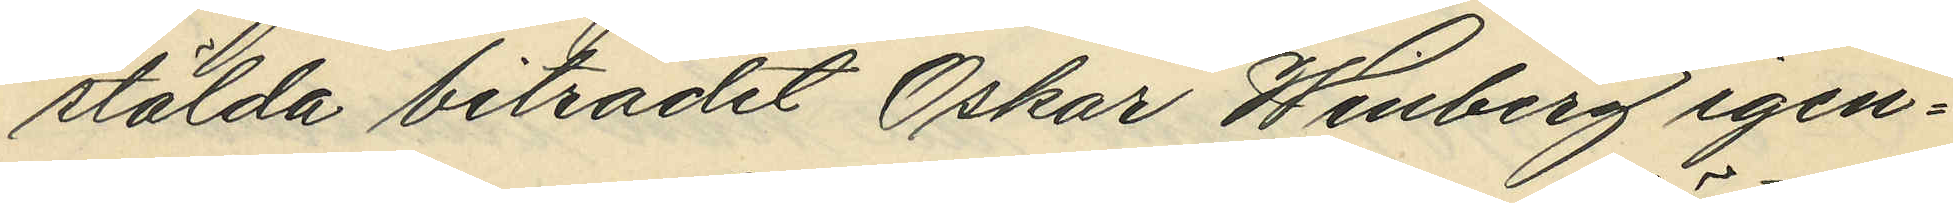stälda biträdet Oskar Winberg igen¬
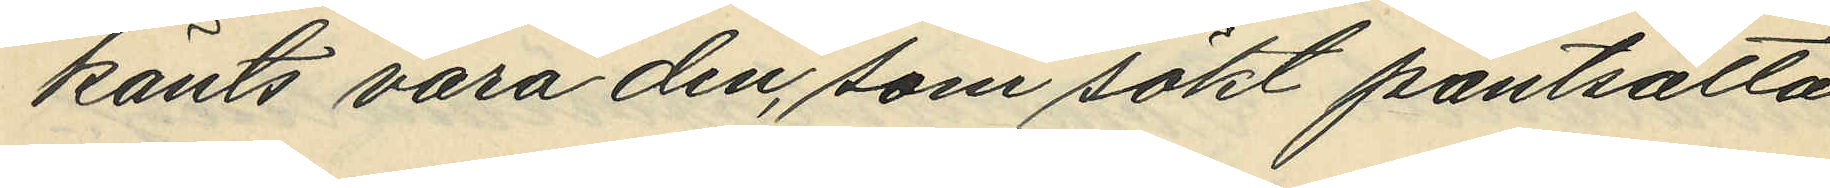känts vara den, som sökt pantsätta
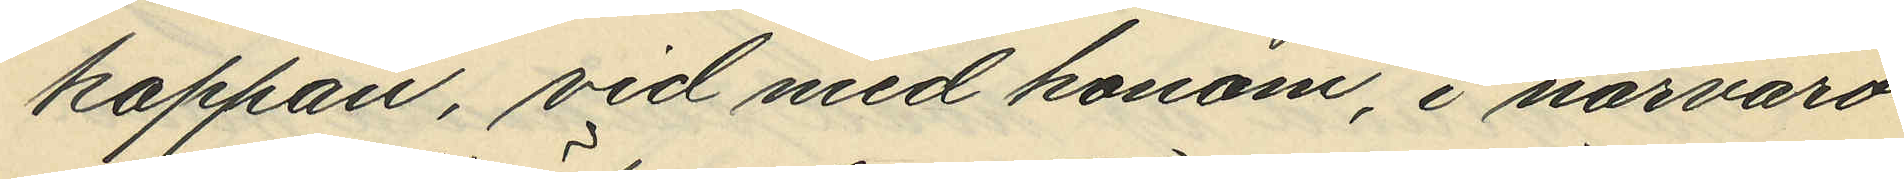kappan, vid med honom, i närvaro
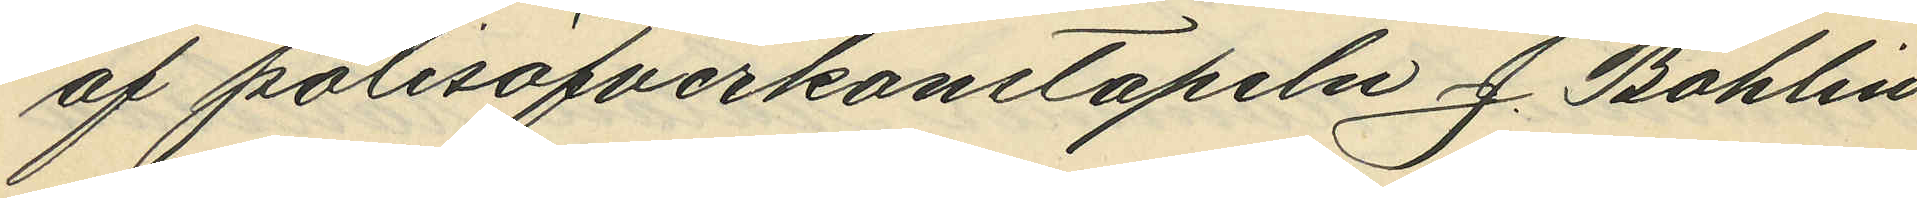af polisöfverkonstapeln J. Bohlin
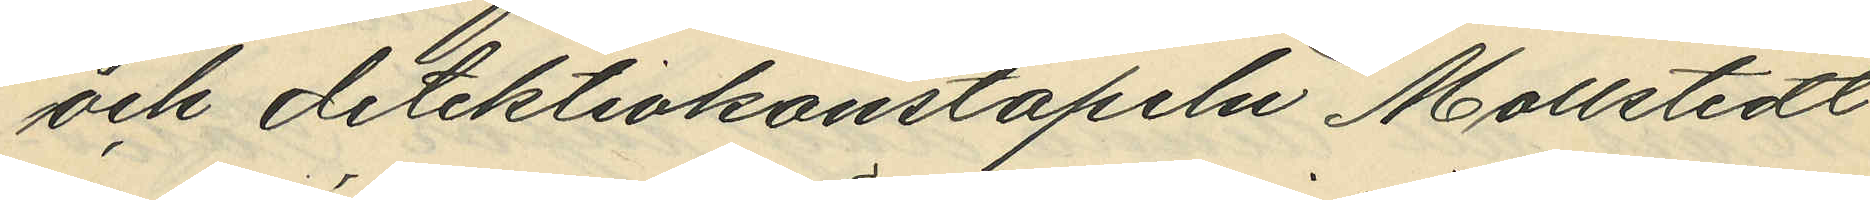och detektivkonstapeln Mollstedt
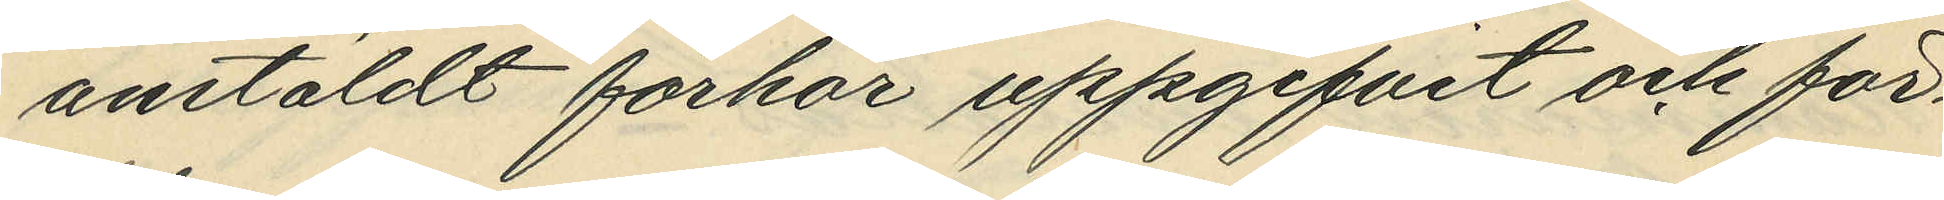anstäldt förhör uppgifvit och för¬
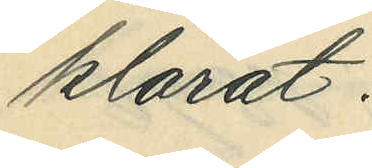klarat:
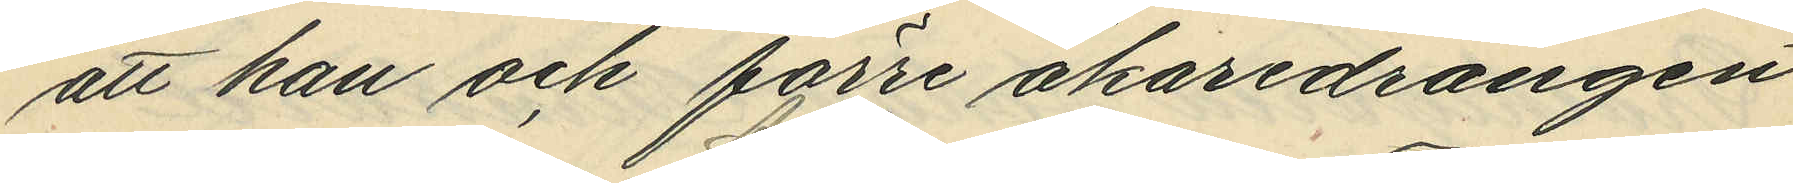att han och förre åkaredrängen
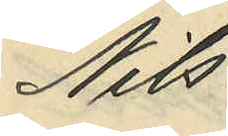Nils
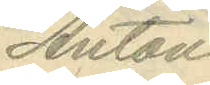Anton
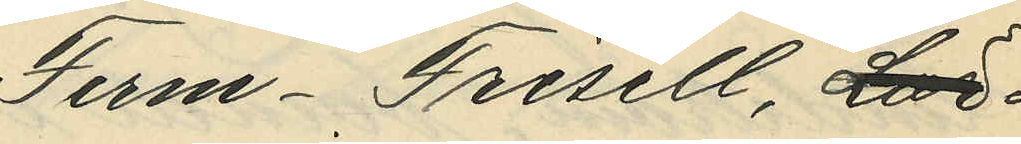Ferm-Frisell, Lör
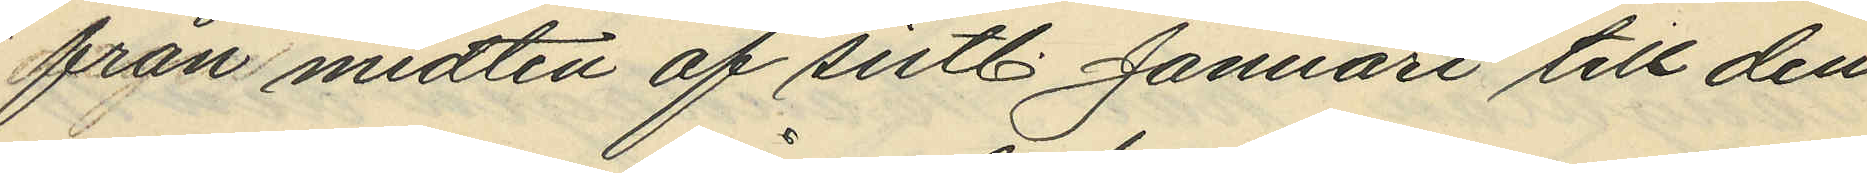från midten af sistl. Januari till den
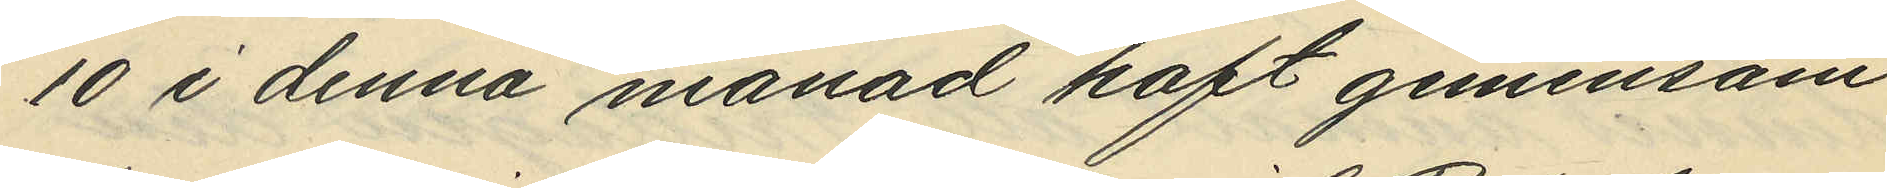10 i denna månad haft gemensam
